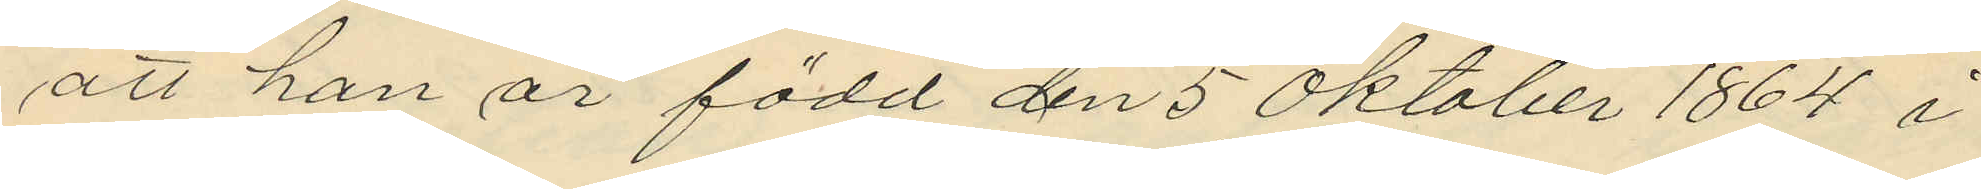att han är född den 5 Oktober 1864 i
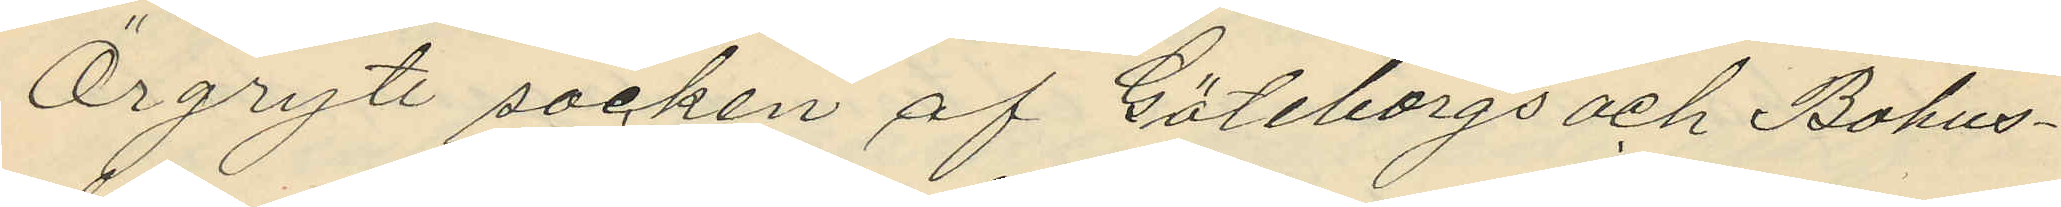Örgryte socken af Göteborgs och Bohus¬
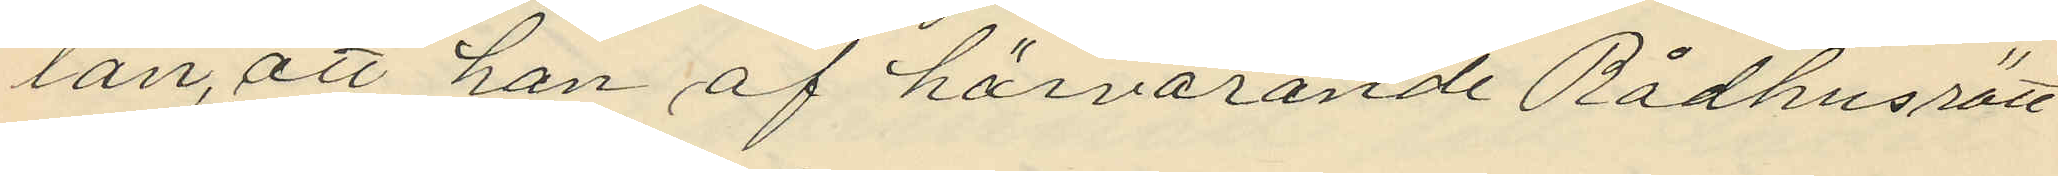län, att han af härvarande Rådhusrätt
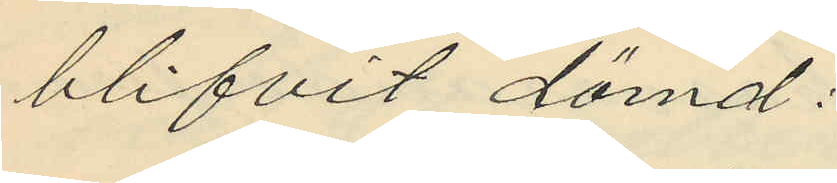blifvit dömd:
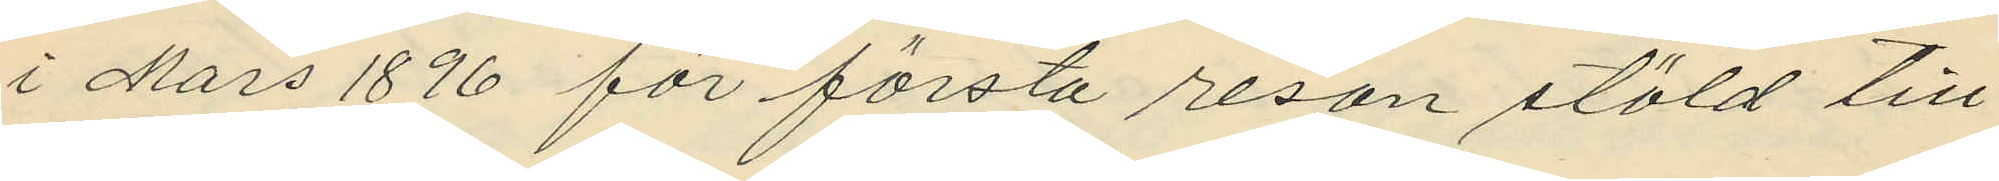i Mars 1896 för första resan stöld till
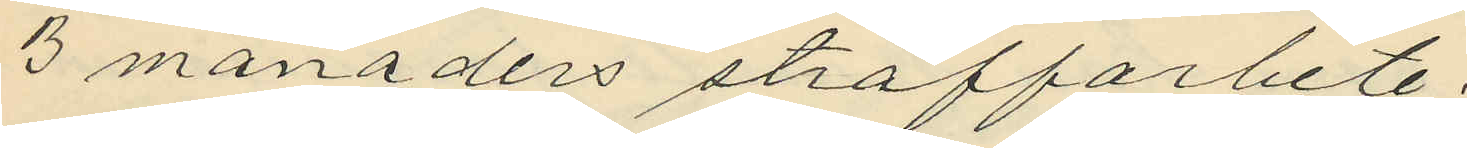3 månaders straffarbete;
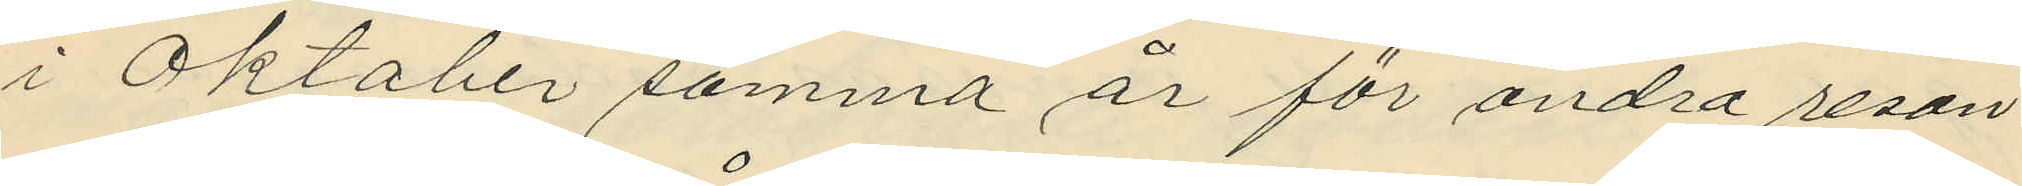i Oktober samma år för andra resan
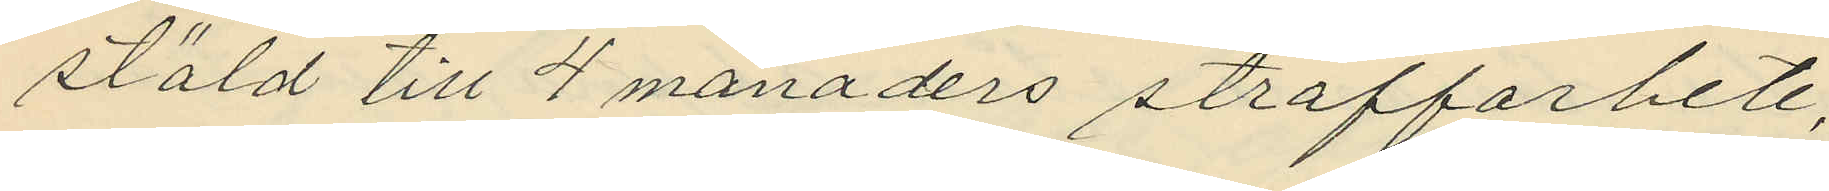stöld till 4 månaders straffarbete,
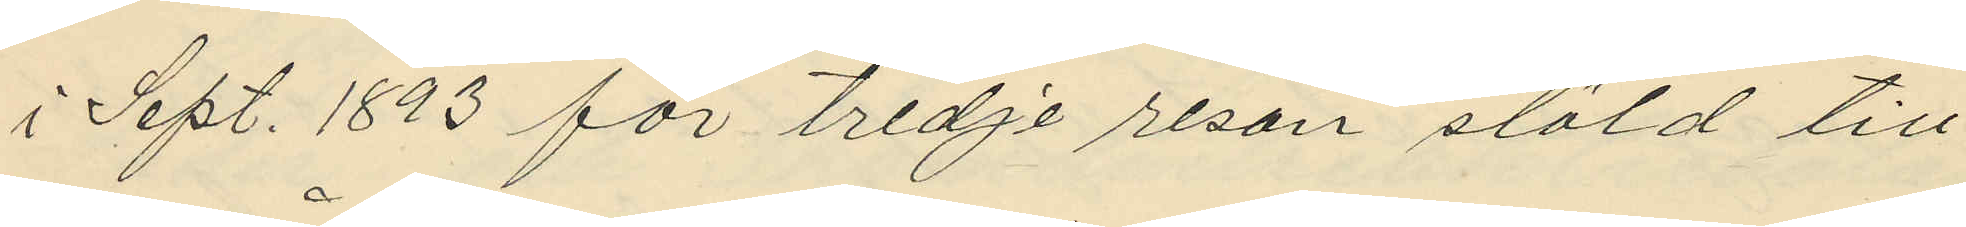i Sept. 1893 för tredje resan stöld till
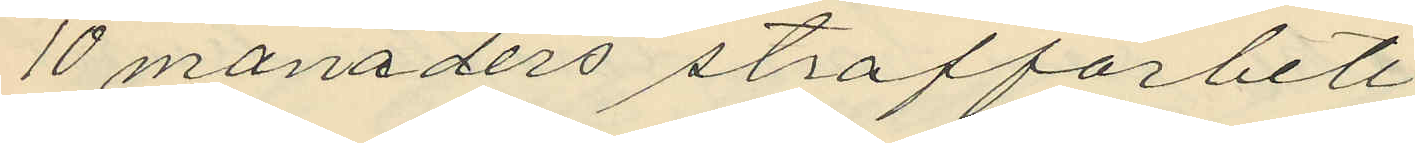10 månaders straffarbete,
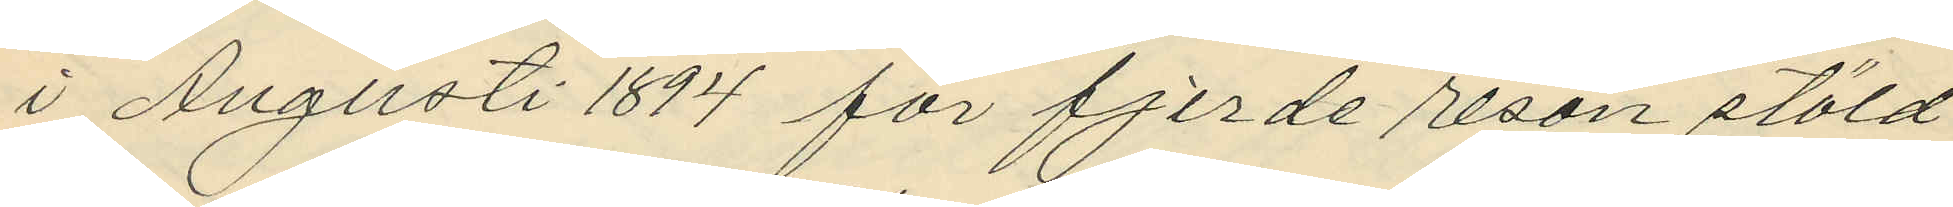i Augusti 1894 för fjerde resan stöld
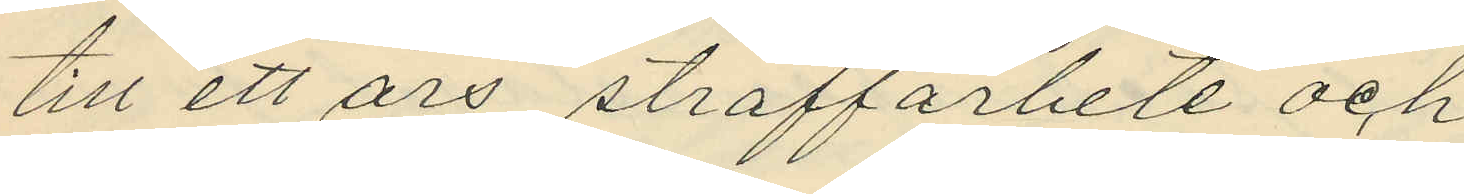till ett års straffarbete och
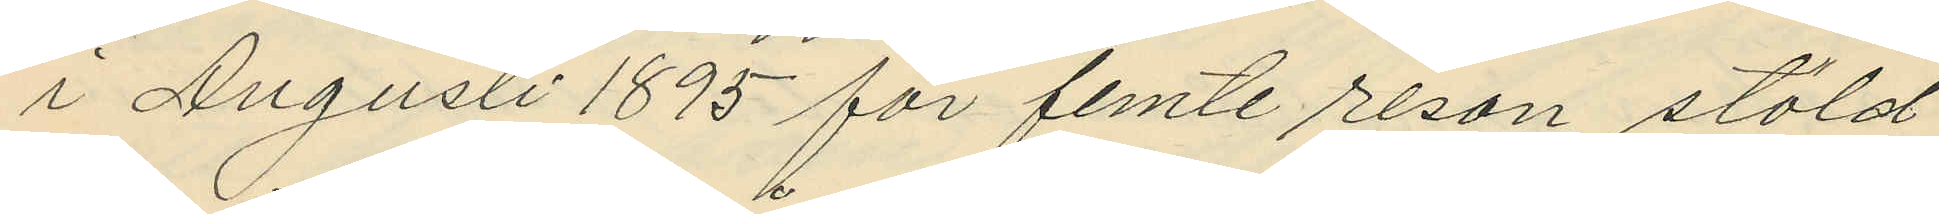i Augusti 1895 för femte resan stöld
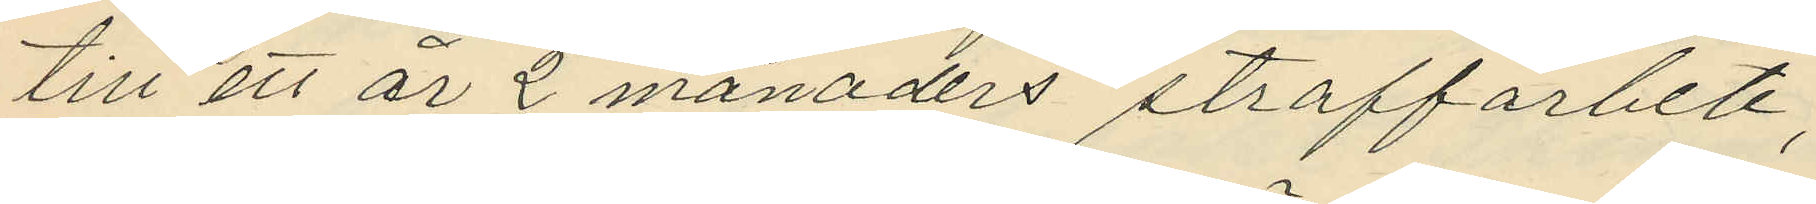till ett år 2 månaders straffarbete;
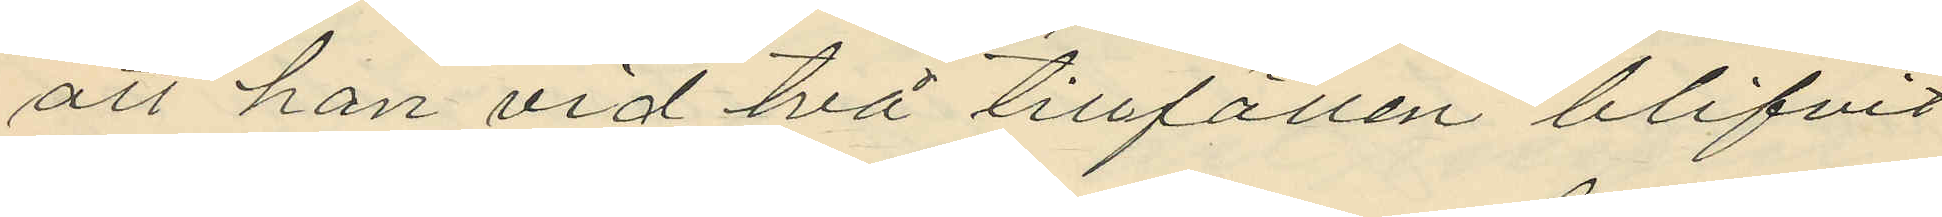att han vid två tillfällen blifvit
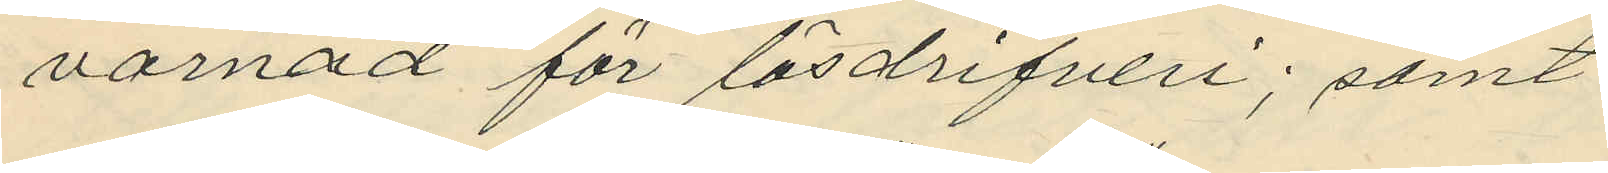varnad för lösdrifveri; samt
